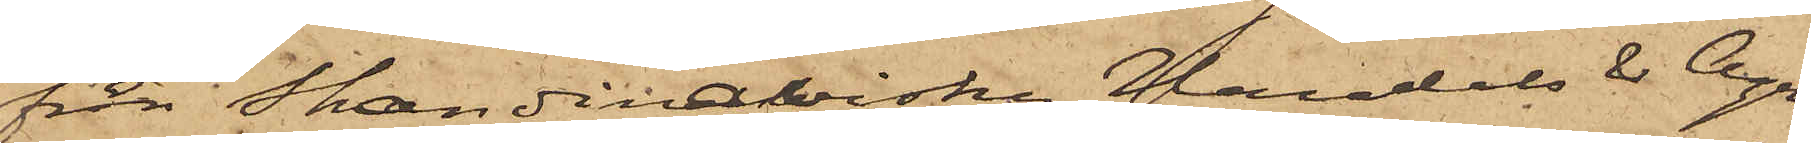från Skandinaviska Handels & Agen¬
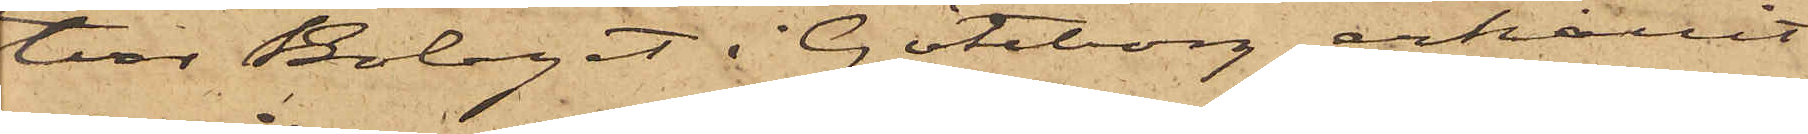tur Bolaget i Göteborg erhållit
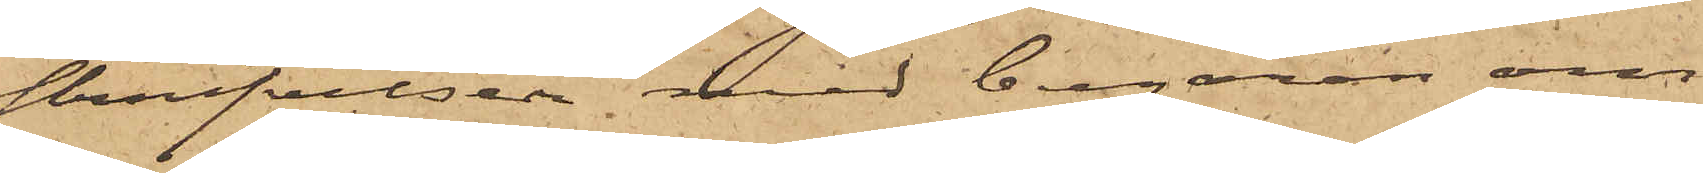skrifvelser med begäran om
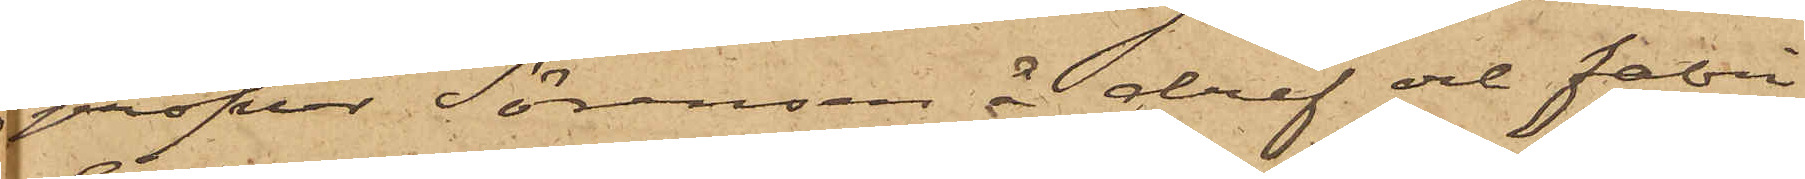profver Sörensen å dref och fabri¬
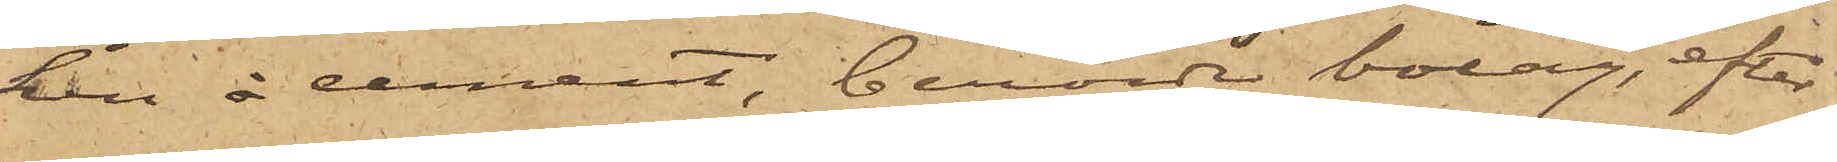ken å cement, berörde bolag, efter
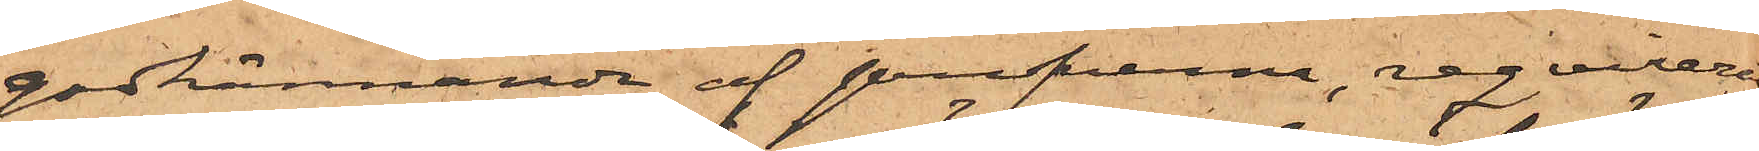godkännande af profverna, reqvirerat
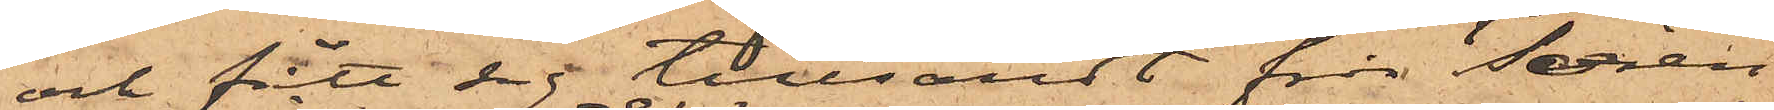och fått sig tillsändt från Sören¬
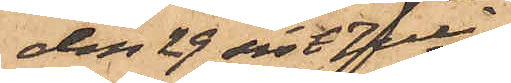den 29 sist. Juli
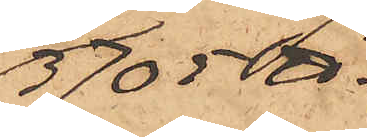3705 ℔.
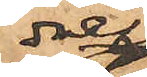dref
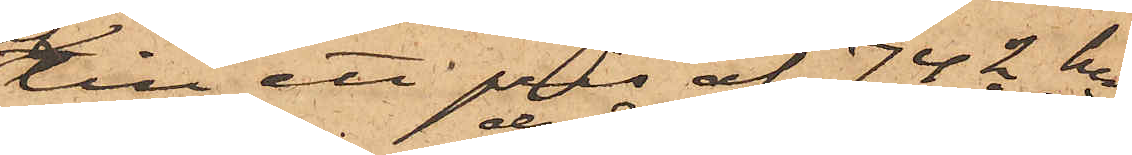till ett pris af 742 kr
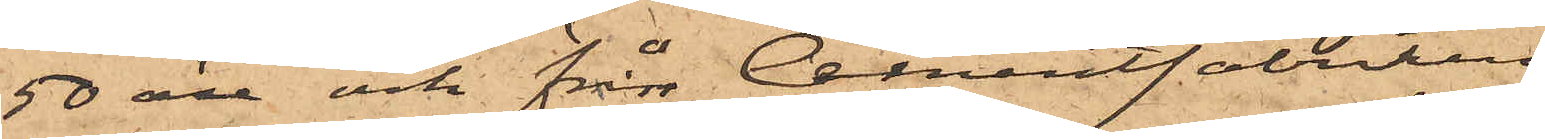50 öre och från Cementfabriken
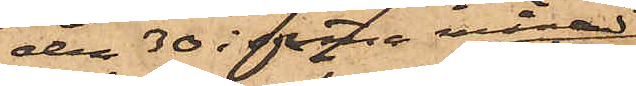den 30 i denna månad
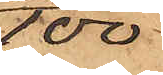100
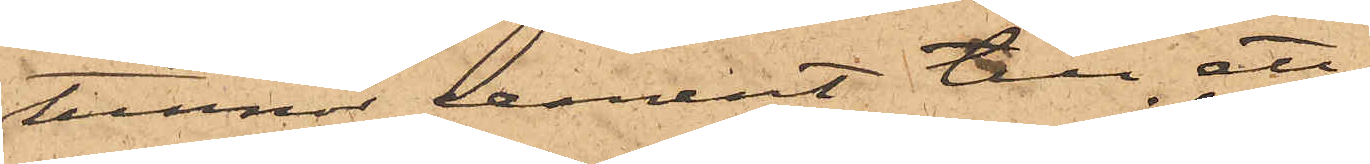tunnor cement till ett
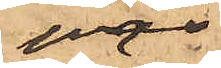pris
